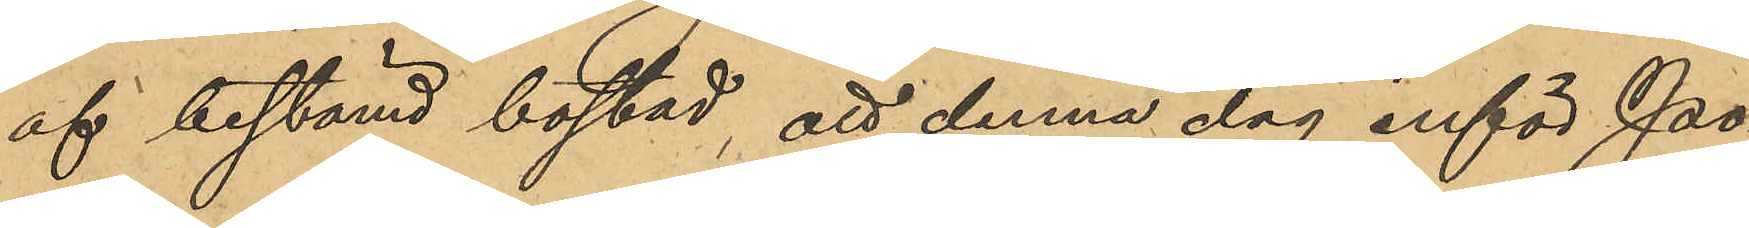af bestämd bostad, att denna dag inför Po¬
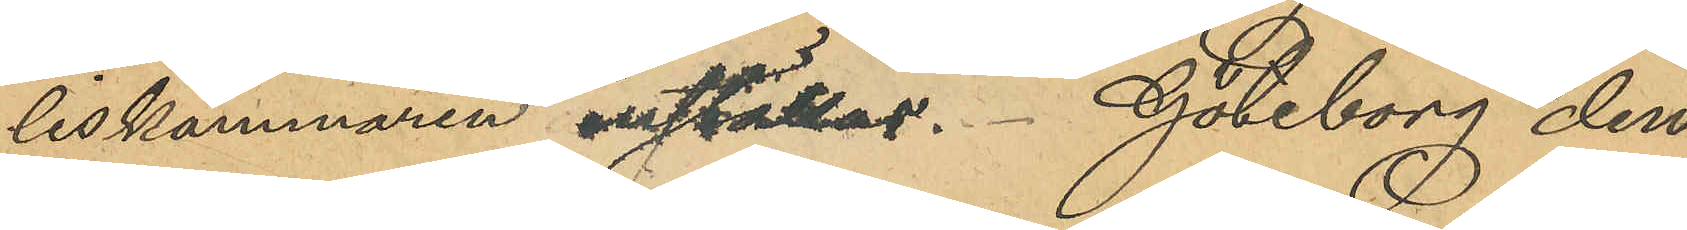liskammaren inställas. Göteborg den
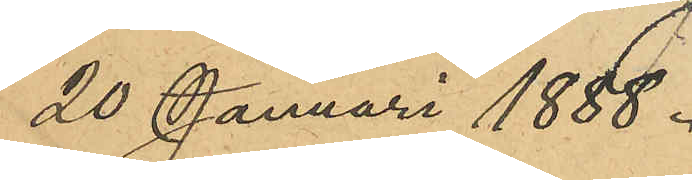20 Januari 1888.
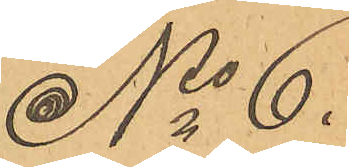No 6.
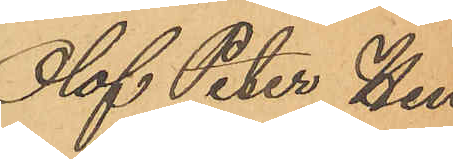Olof Peter Hen¬
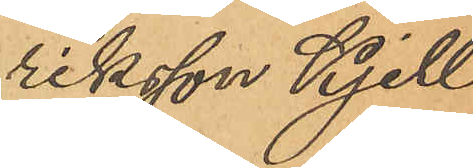riksson Kjell¬
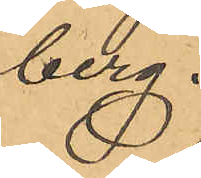berg.
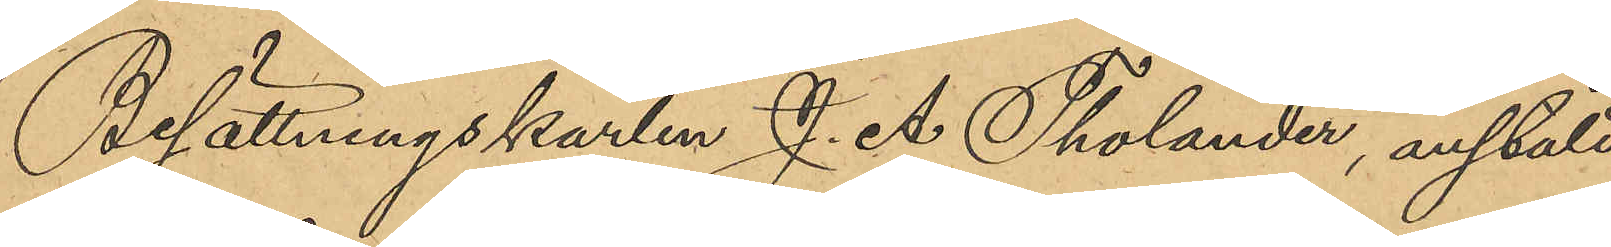Besättningskarlen J. A.Tholander, anstäld
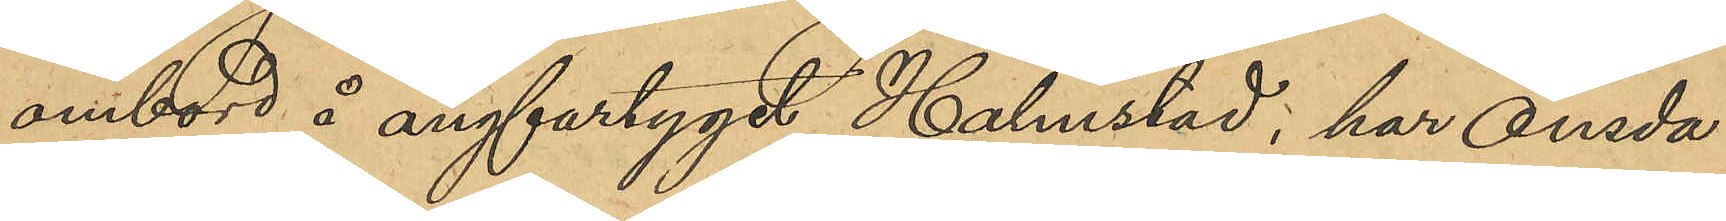ombord å ångfartyget Halmstad, har onsda¬
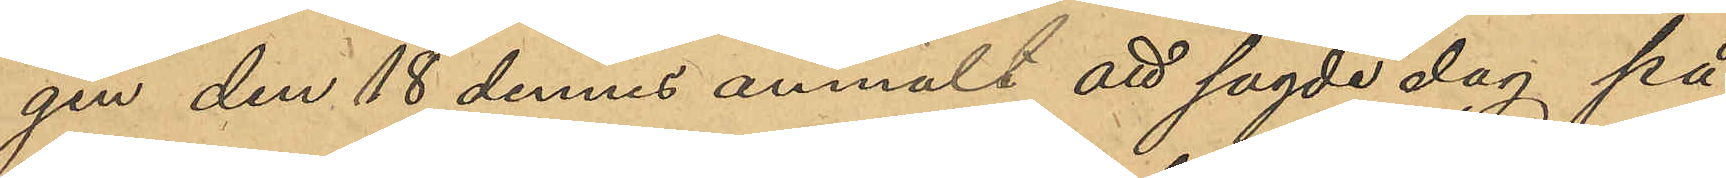gen den 18 dennes anmält att sagde dag på
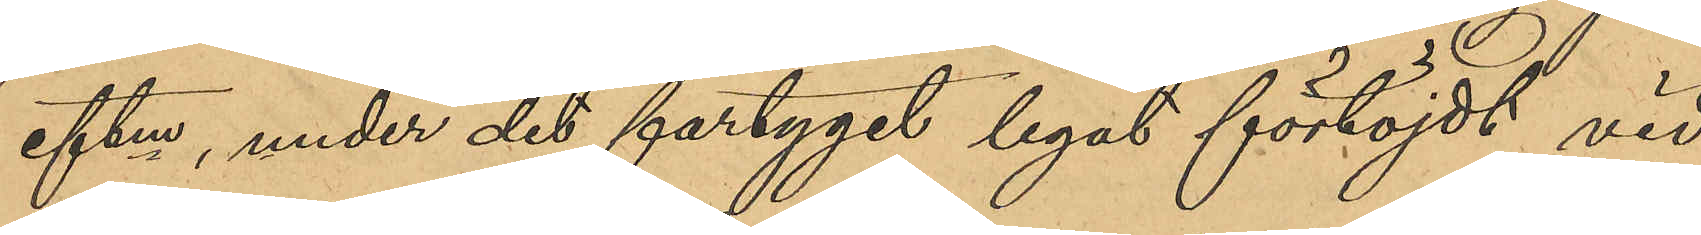eftm, under det fartyget legat förtöjdt vid
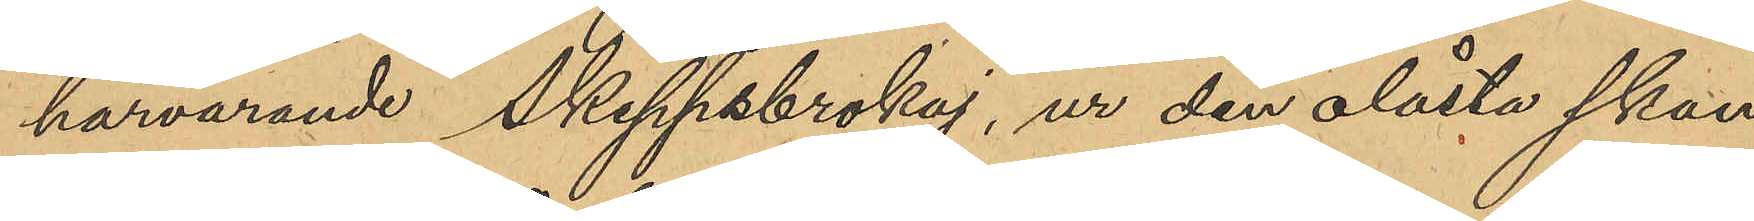härvarande Skeppsbrokaj, ur den olåsta skan¬
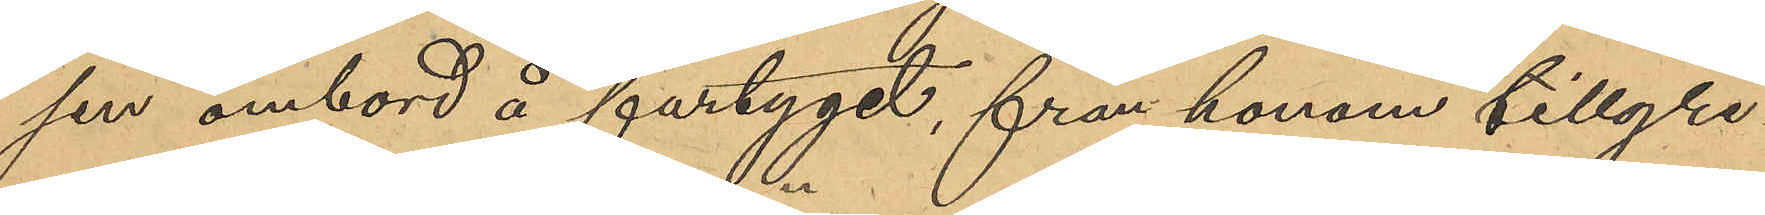sen ombord på fartyget, från honom tillgri¬
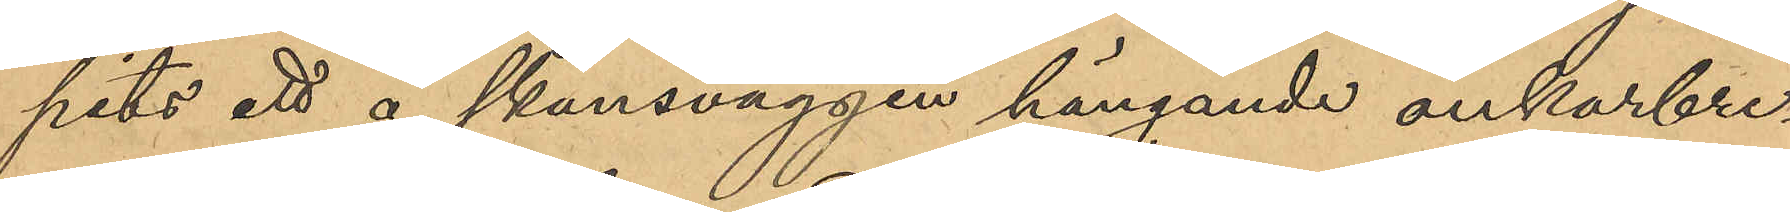pits ett å skansväggen hängande ankarbre¬
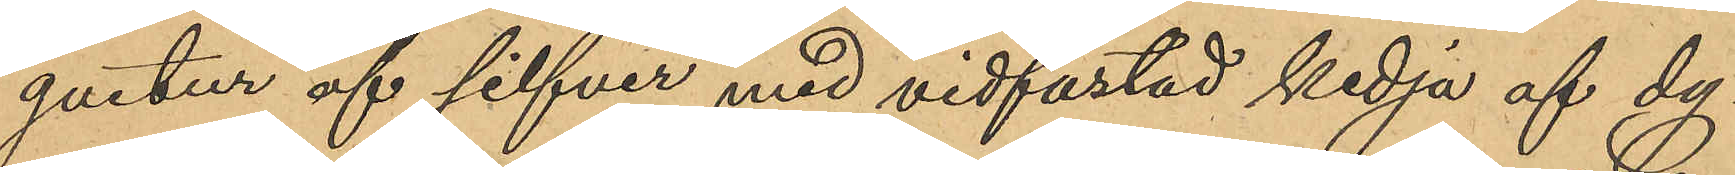guetur af silfver med vidfästad kedja af dy¬
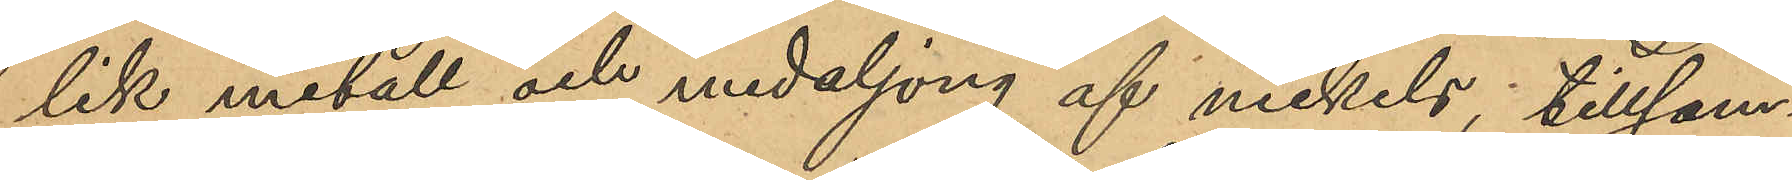lik metall och medaljong af nickel, tillsam¬
